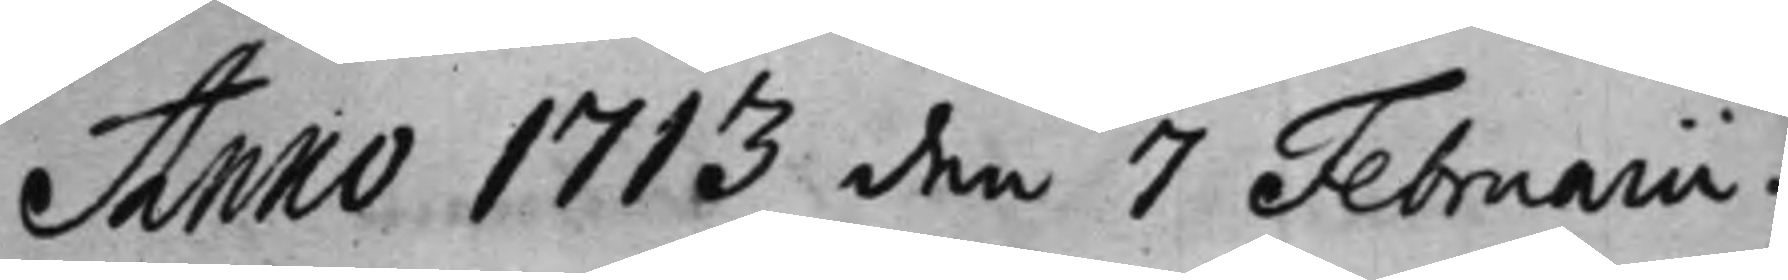Anno 1713 den 7 Februarii.
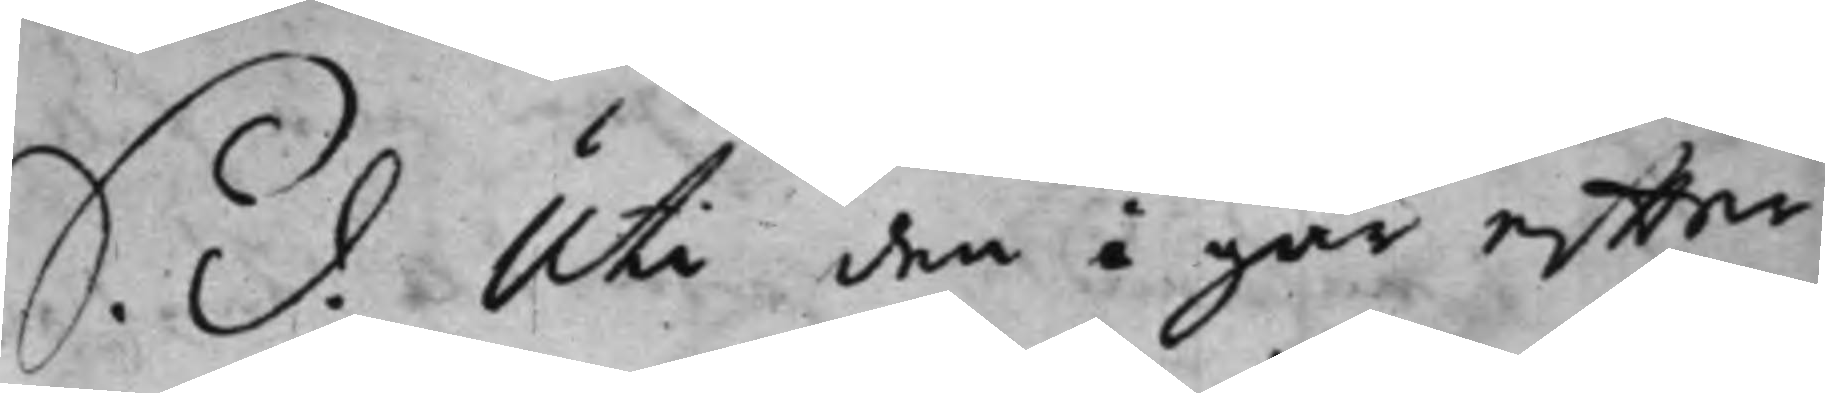S. d. Uti den i går efter¬
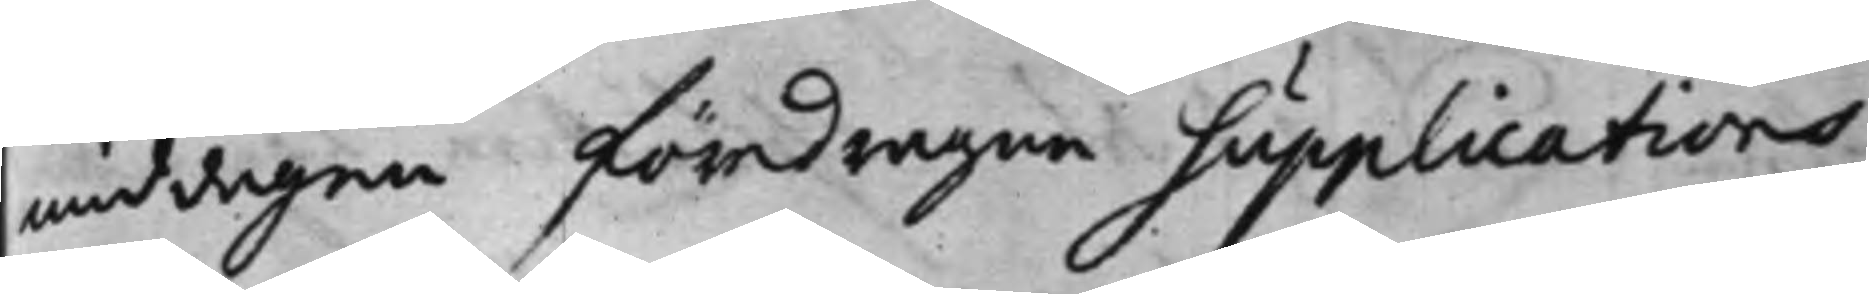middagen föredragne supplications
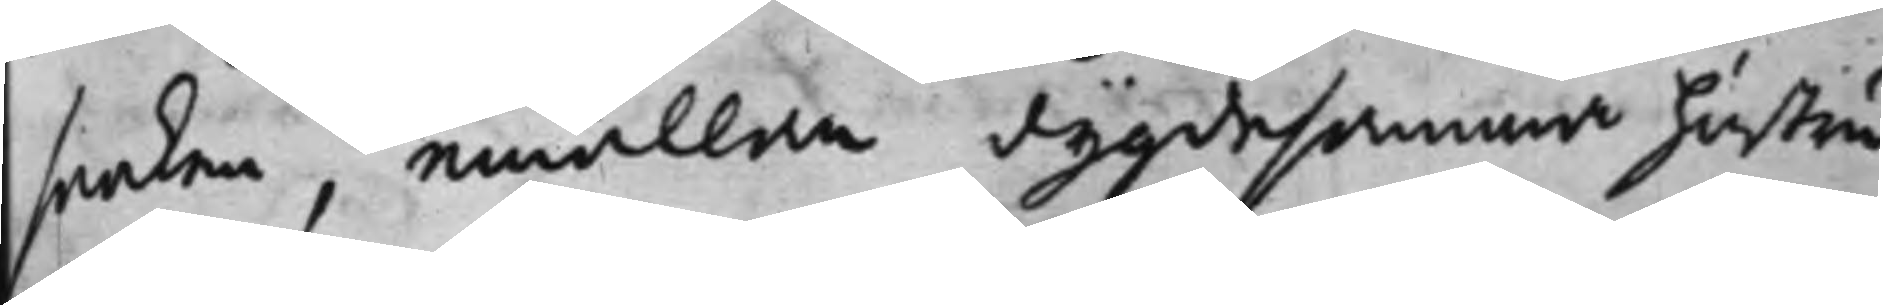saaken, emällan dygdesamma hustru
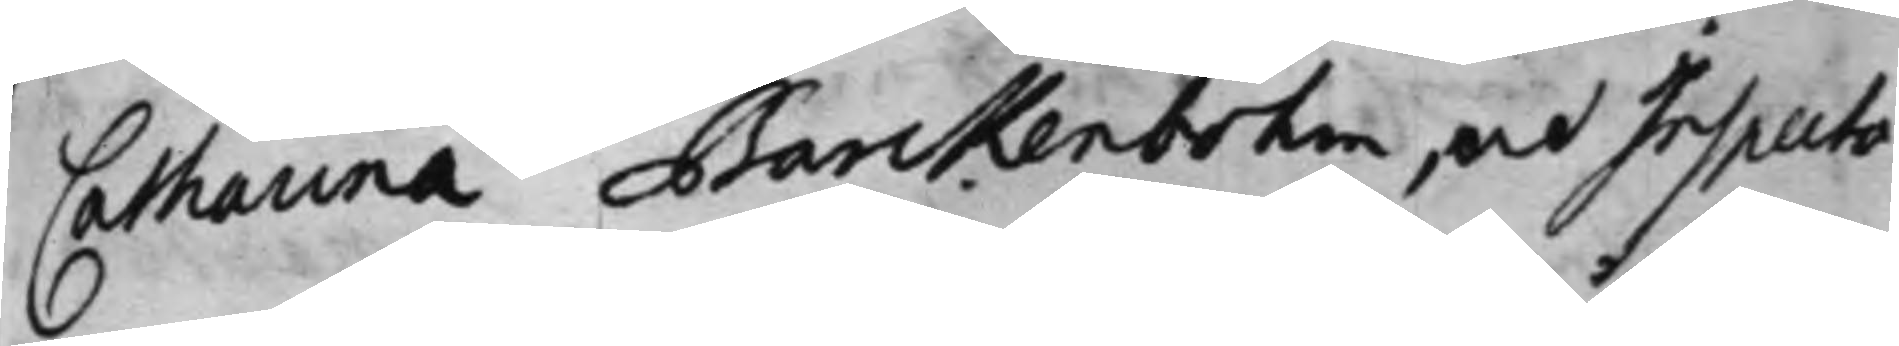Catharina Barckenbohm, och Inspecto¬
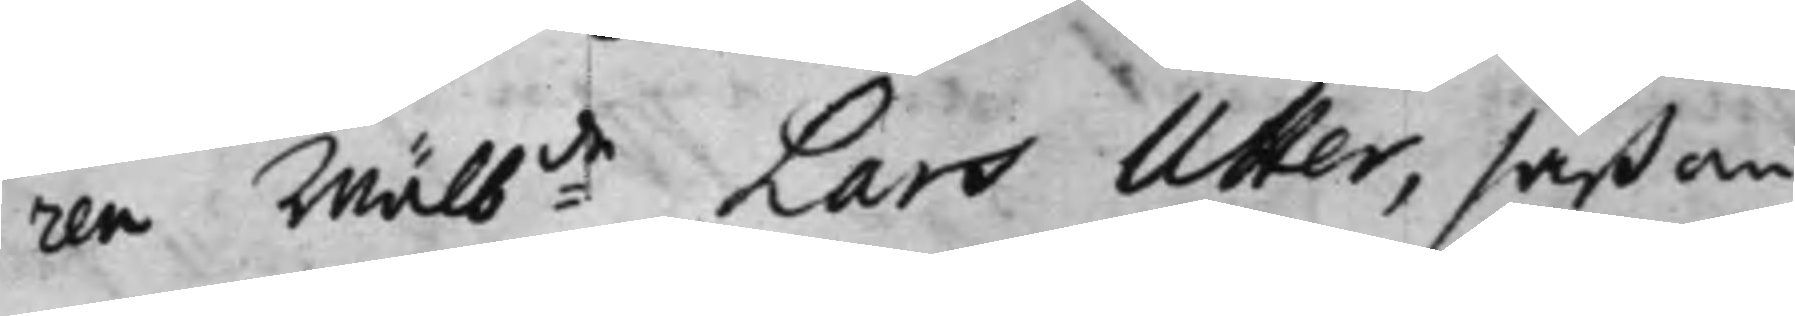ren Wälb:de Lars Utter, såßom
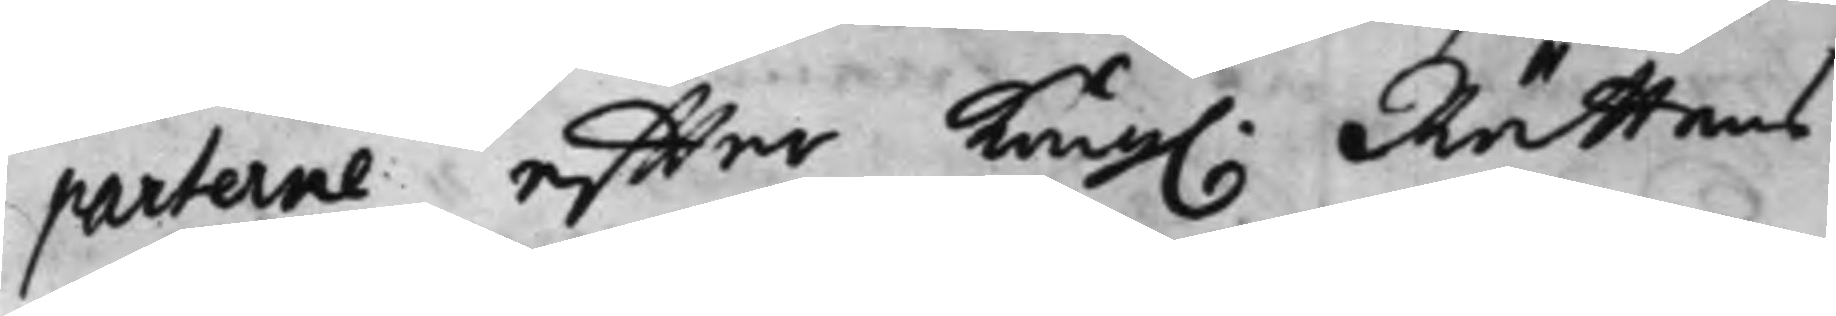parterne effter Kong. Rättens
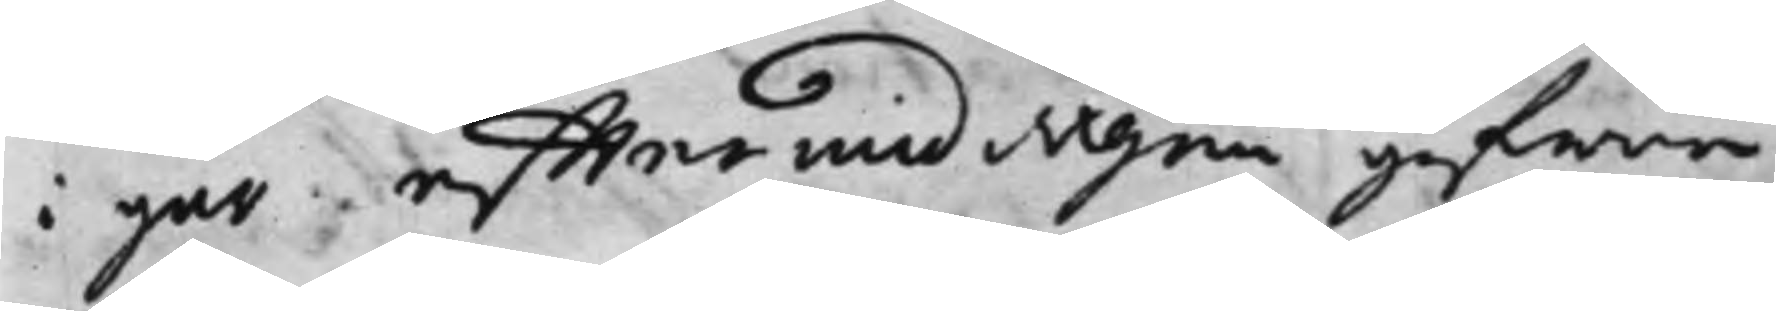i går efftermiddagen gifwne
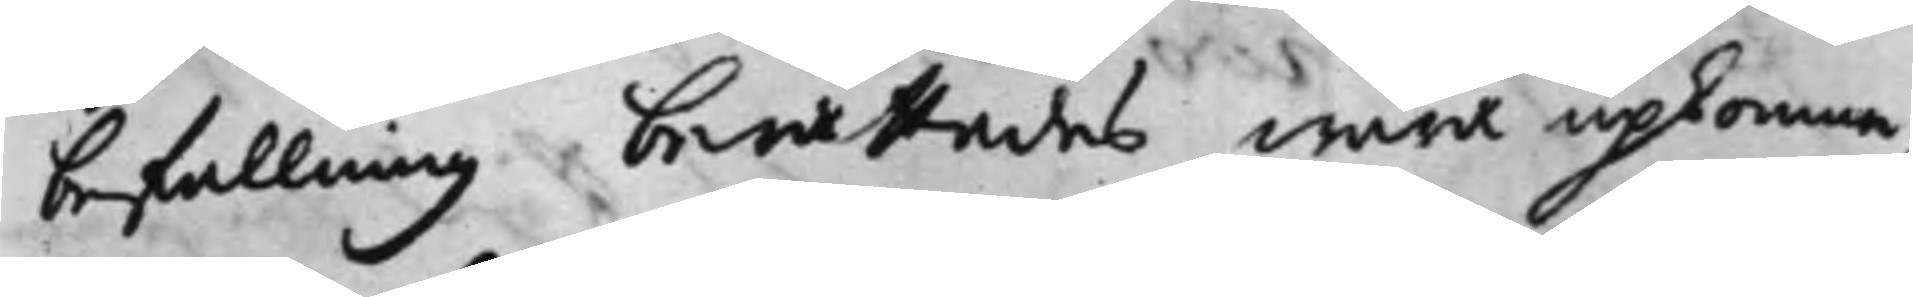befallning berättades wara upkomne,
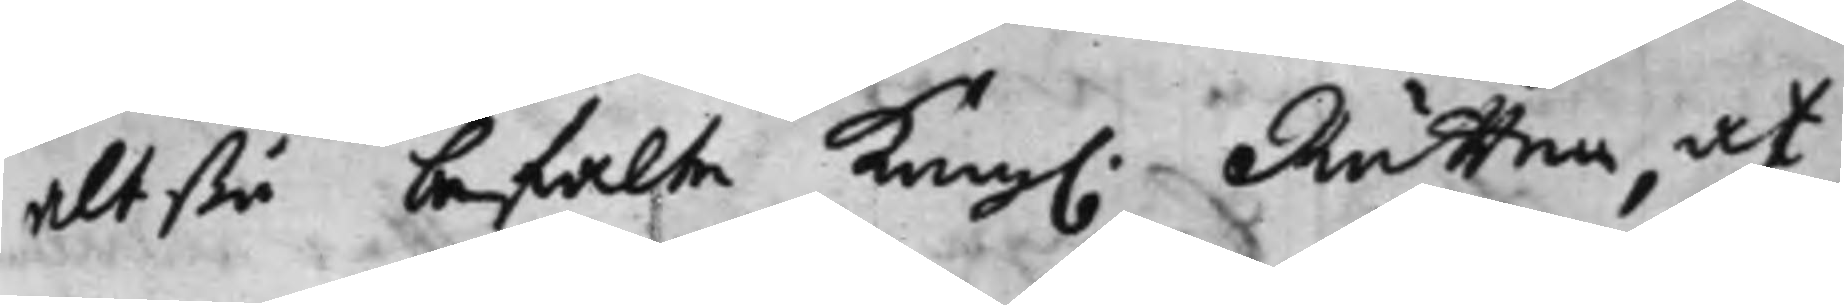altßå befalte Kong. Rätten, at
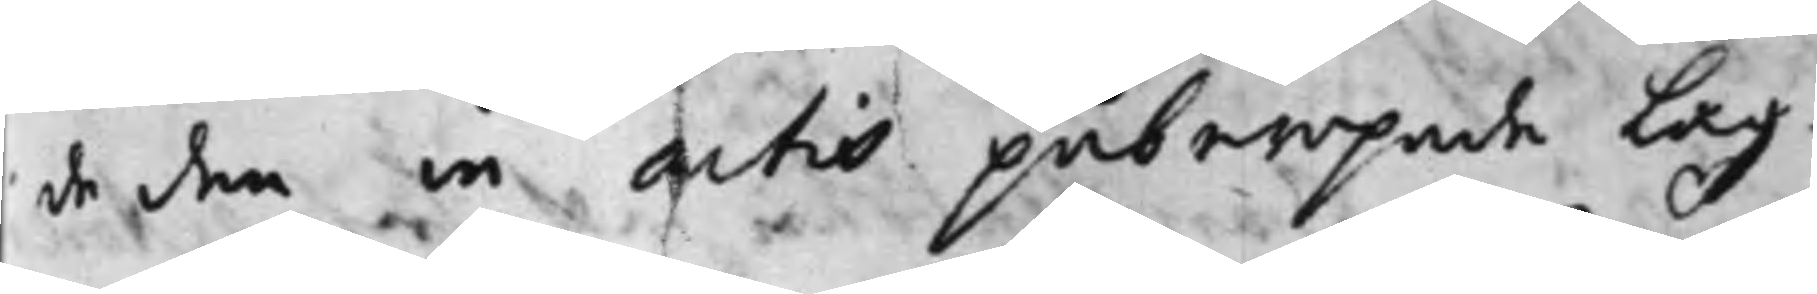de den in actis påberopade Lag¬
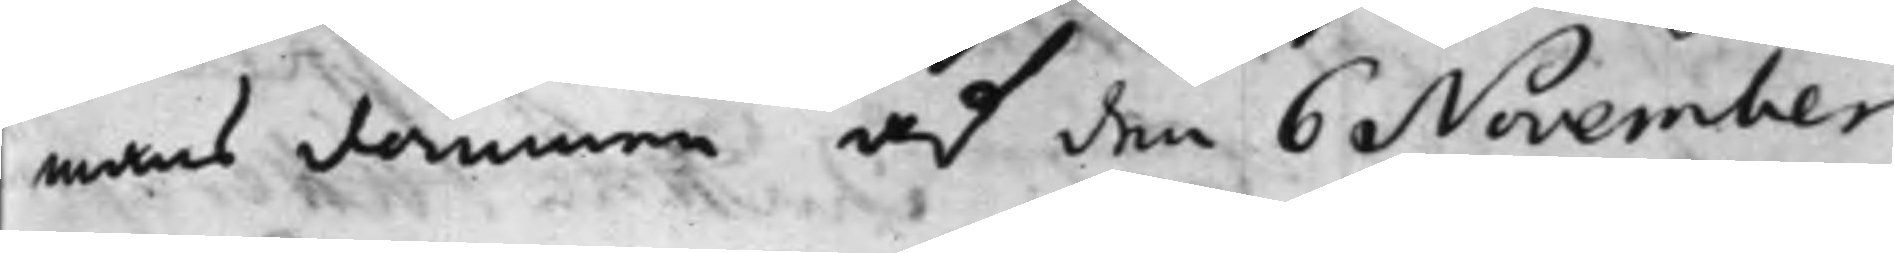mans dommen af den 6 November
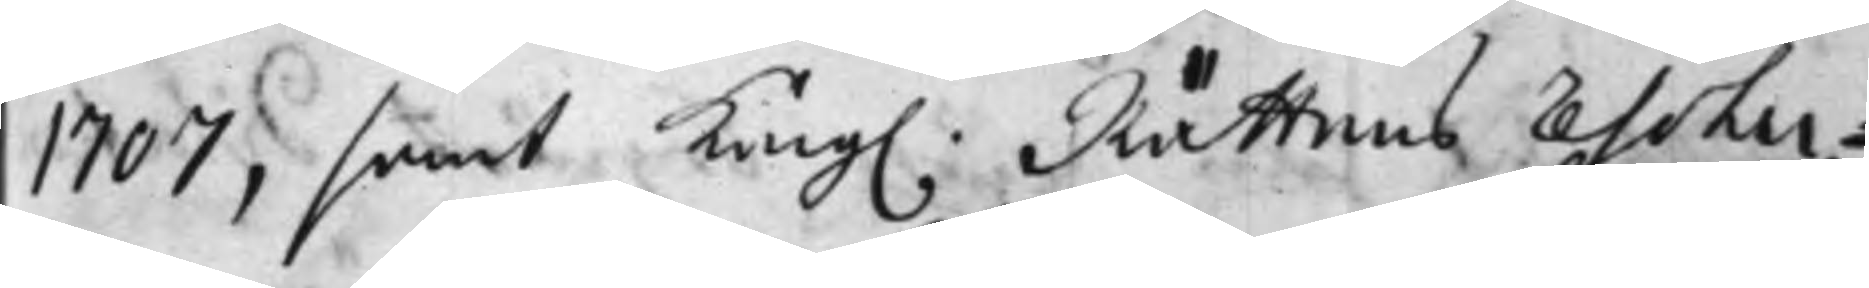1707, samt Kong. Rättens Resolu¬
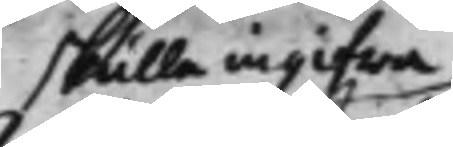skulle ingifwa
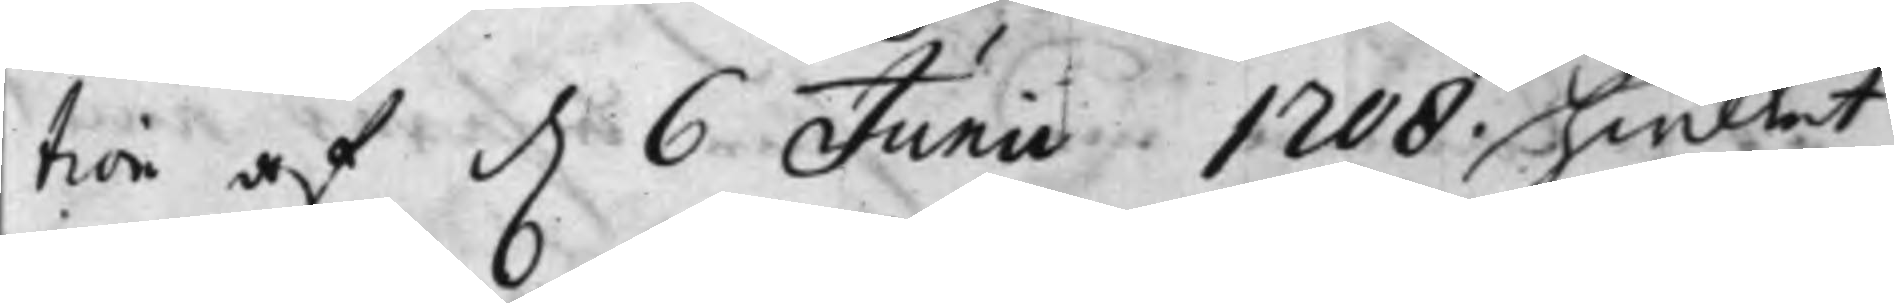tion af d. 6 Junii 1708. hwilket
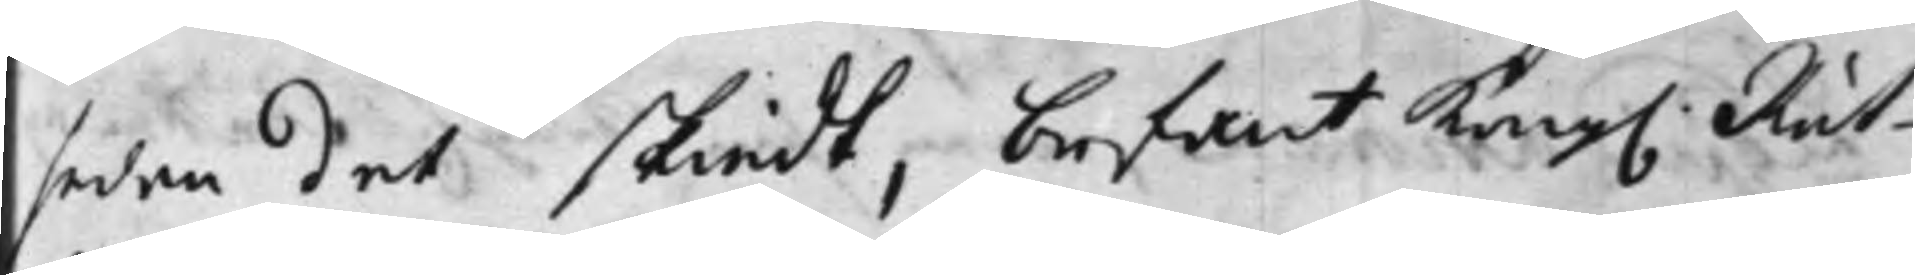sedan det skiedt, befant Kong. Rät¬
